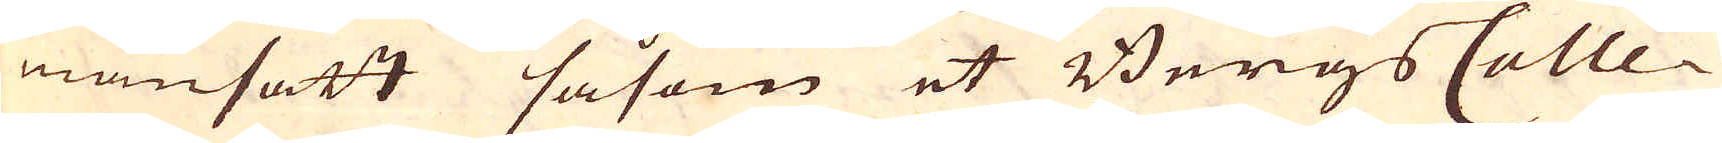mansatt såsom et Bergs Colle-
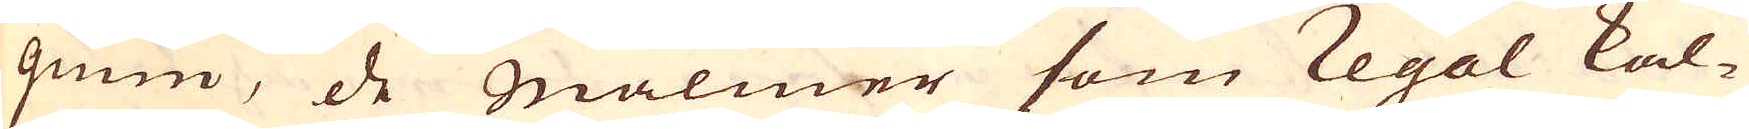gium, de malmer som regal kal-
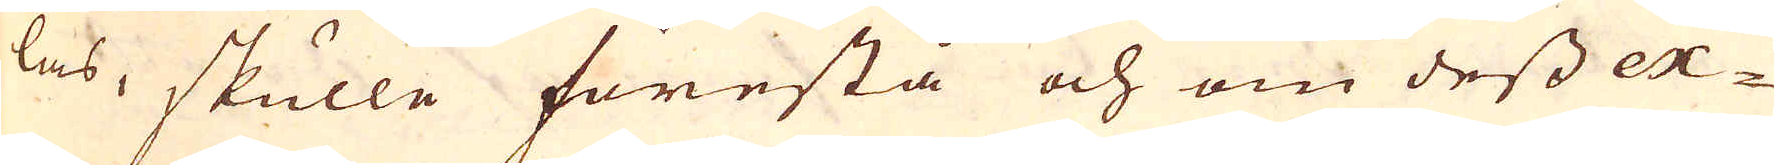las, skulle förestå och om dess ex-
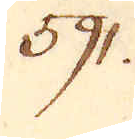591.
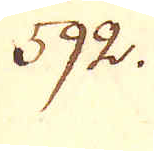592.
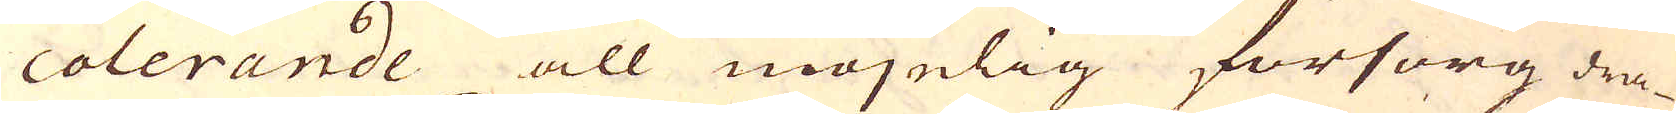colerande all möjelig försorg dra-
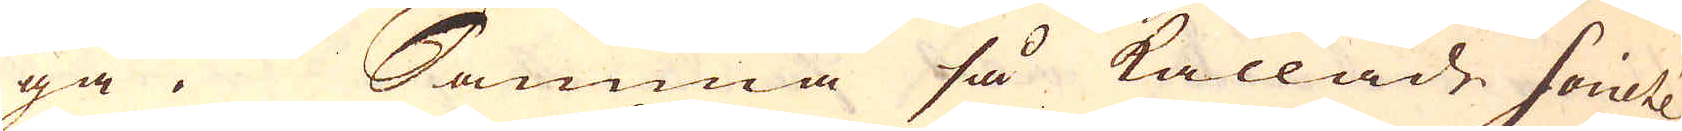ga. Samma så kallade Societé
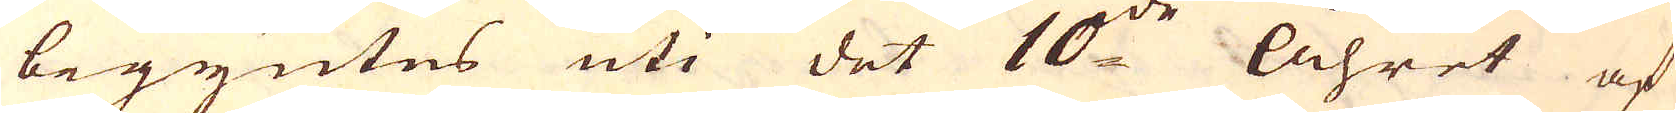begyntes uti det 10:de Åhret af
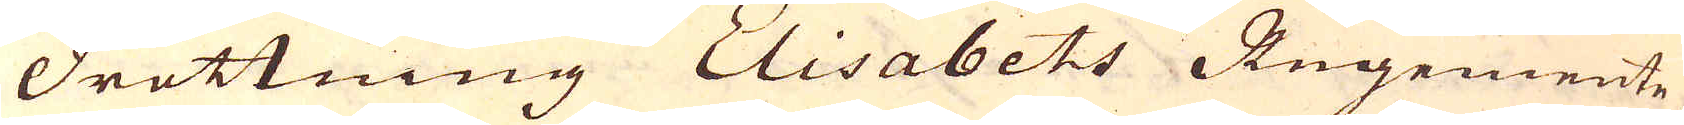Drottning Elisabets Regemente,
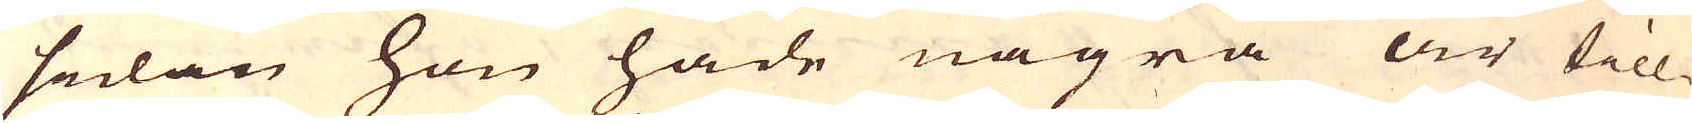sedan hon hade några år till-
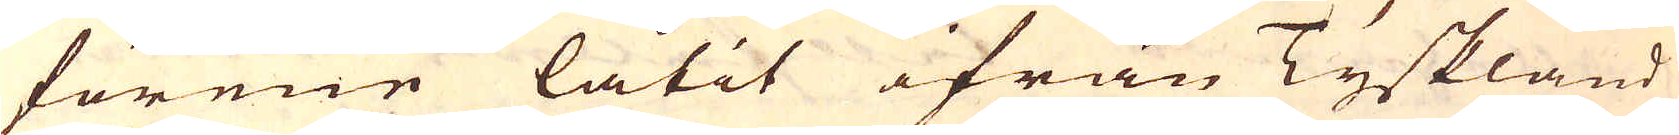förene låtit ifrån Tyskland
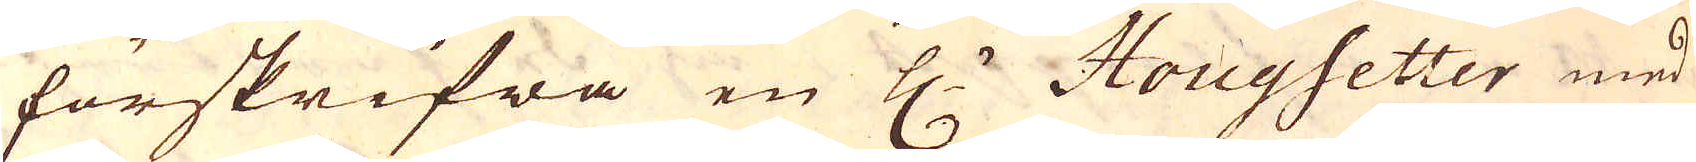förskrifwa en H:r Hougsetter med
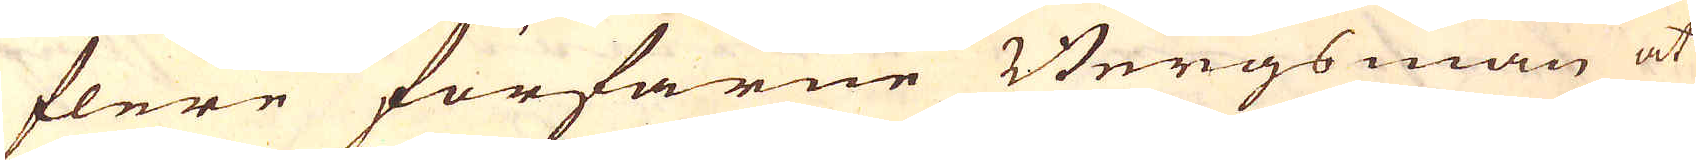flere förfarne Bergsmän at
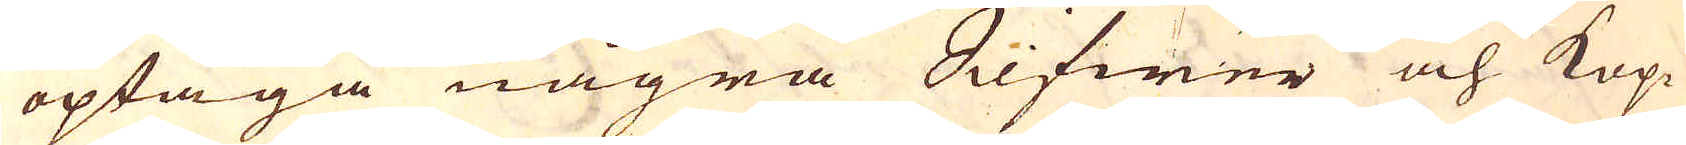optaga några Silfwer och Kop-
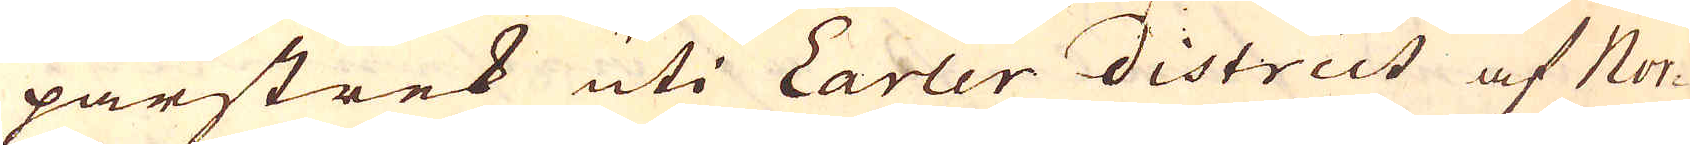parstrek uti Earler district af Nor-
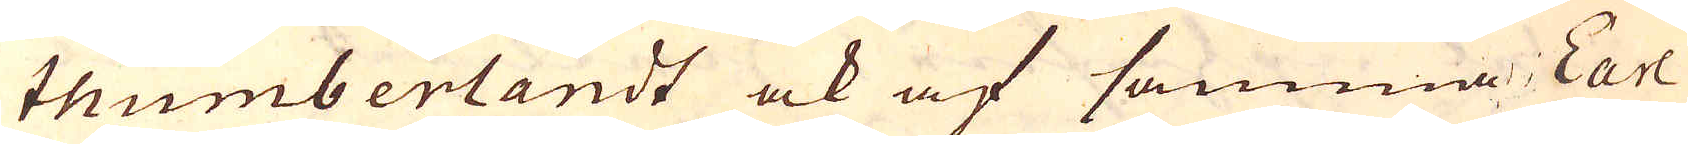thumberlandt ock af samma Earl
